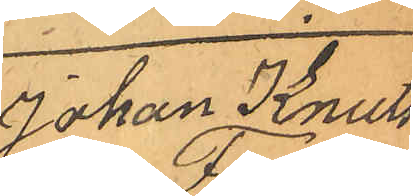Johan Knuts¬
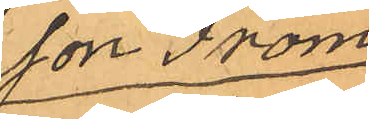son From
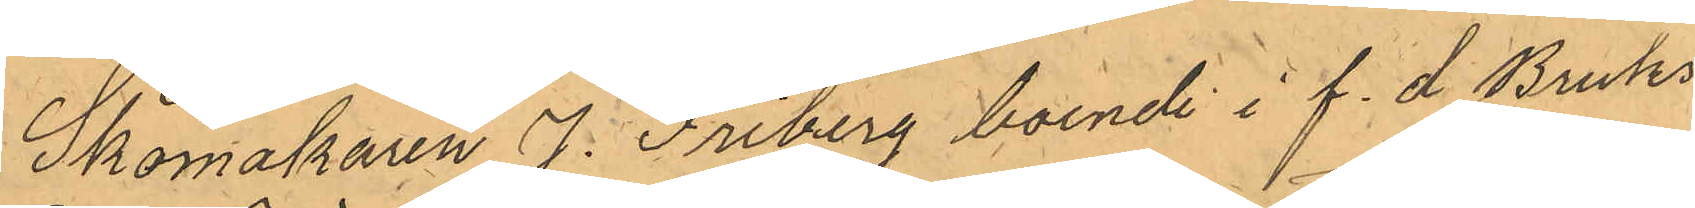Skomakaren J. Friberg boende i f. d Bruks¬
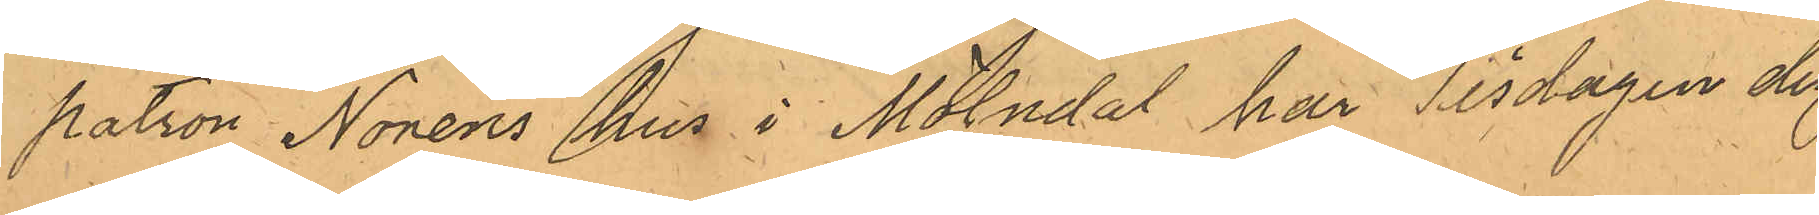patron Noréns hus i Mölndal har Tisdagen den
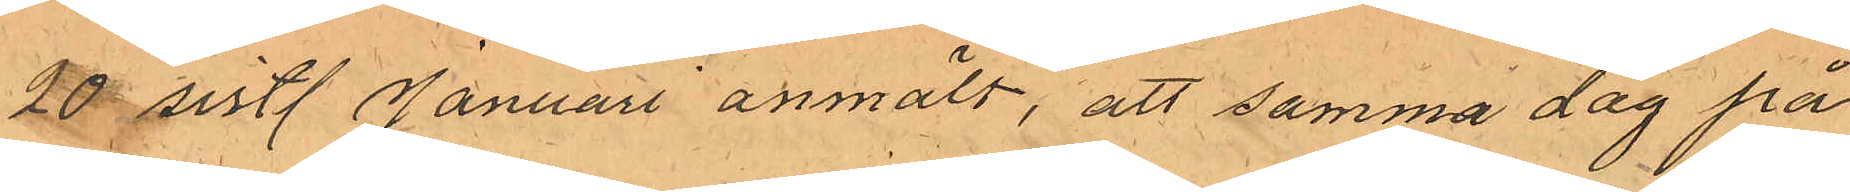20 sistl Januari anmält, att samma dag på
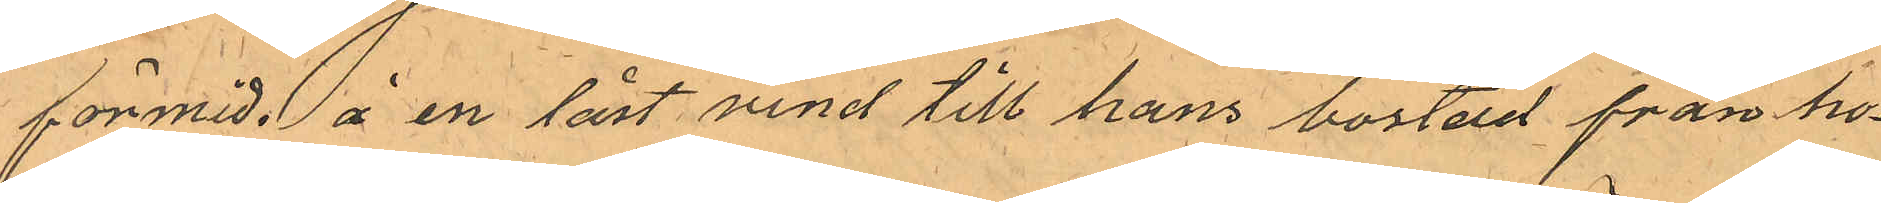förmid. å en låst vind till hans bostad från ho¬
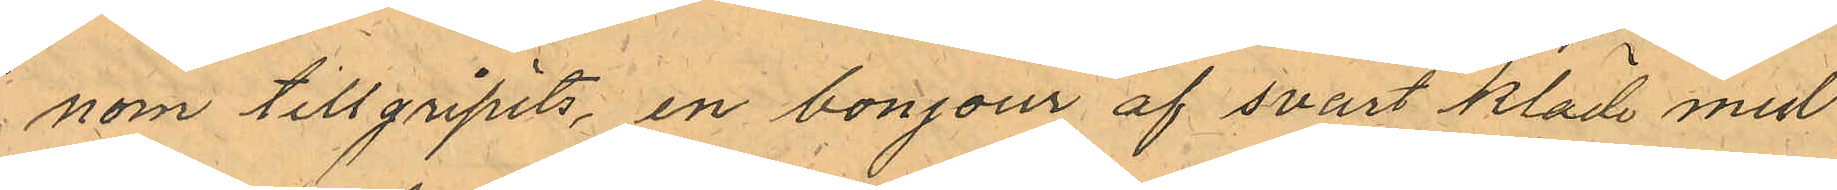nom tillgripits, en bonjour af svart kläde med
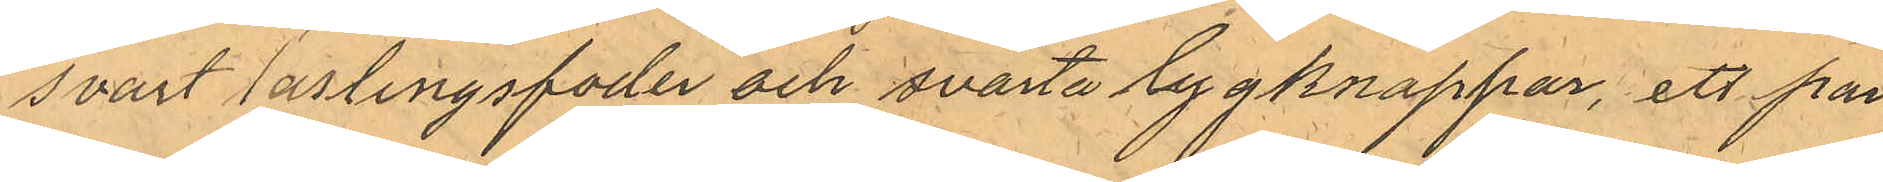svart lastingsfoder och svarta tygknappar, ett par
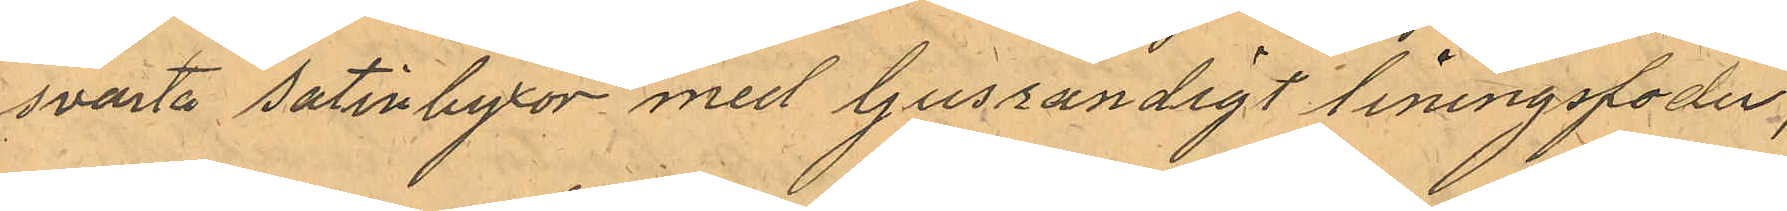svarta satinbyxor med ljusrandigt liningsfoder,
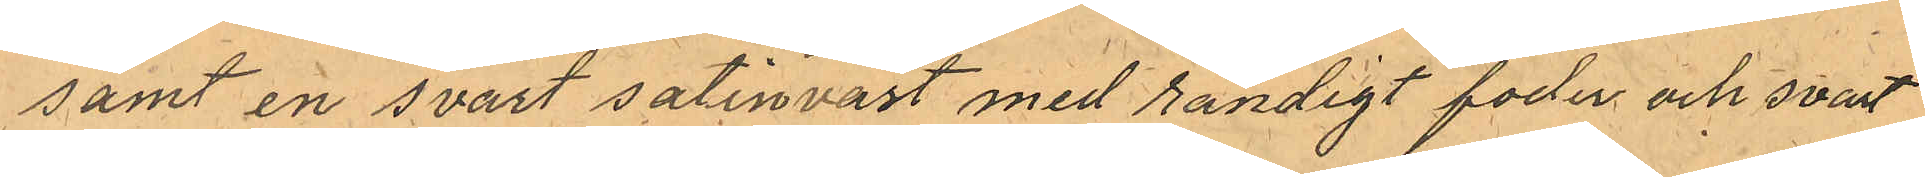samt en svart satinväst med randigt foder och svart
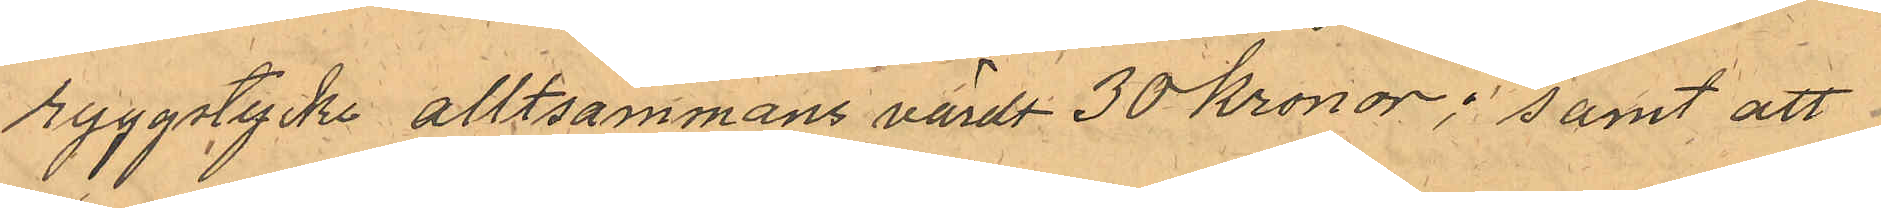ryggstycke alltsammans värdt 30 Kronor; samt att
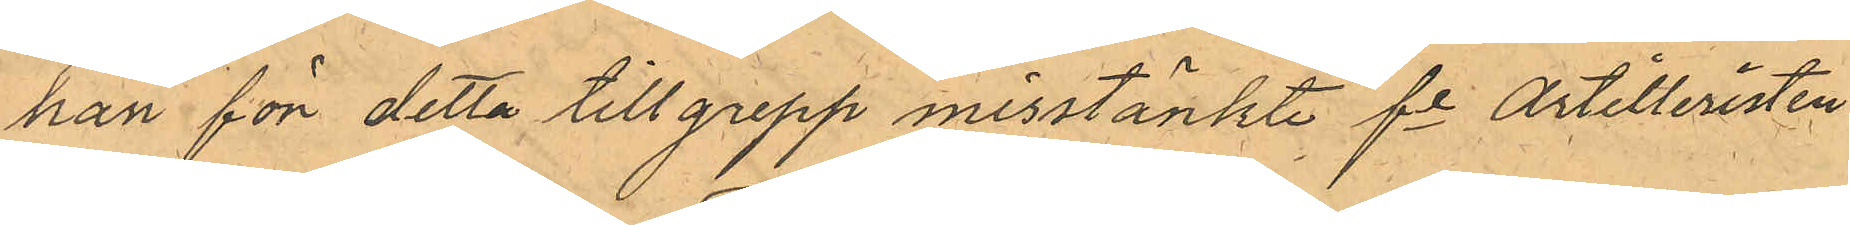han för detta tillgrepp misstänkte fe Artilleristen
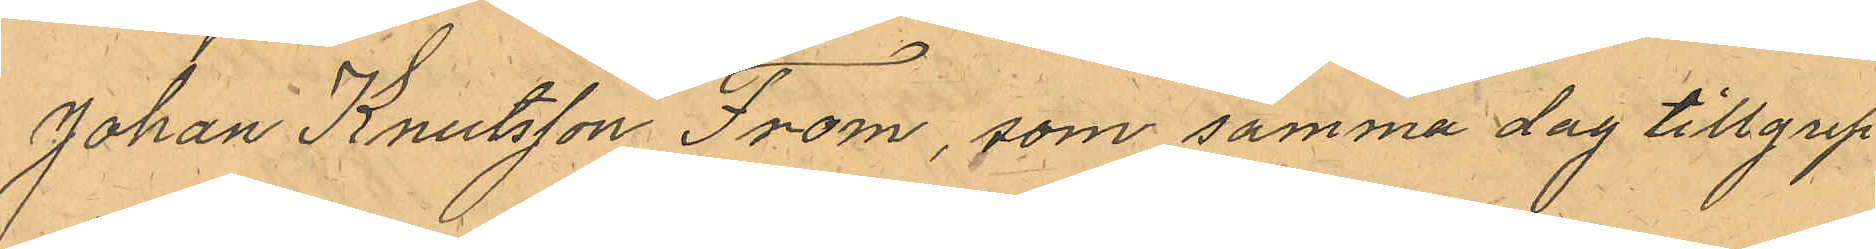Johan Knutsson From, som samma dag tillgrep¬
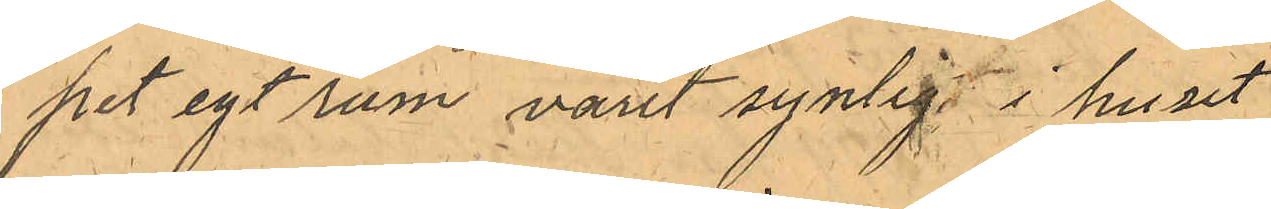pet egt rum varit synlig i huset
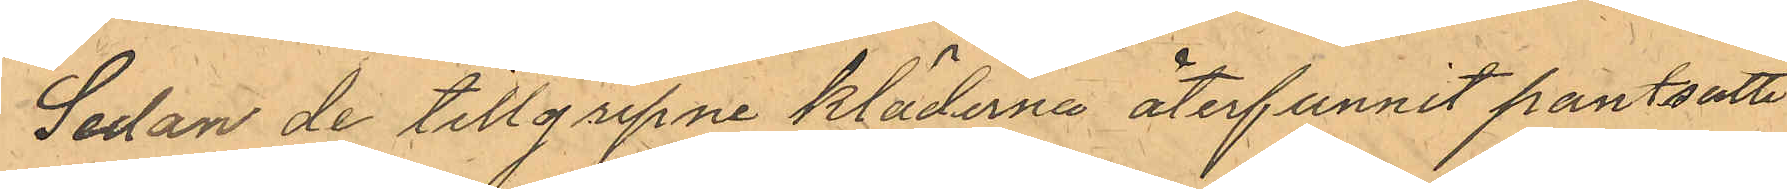Sedan de tillgripne kläderna återfunnit pantsatte
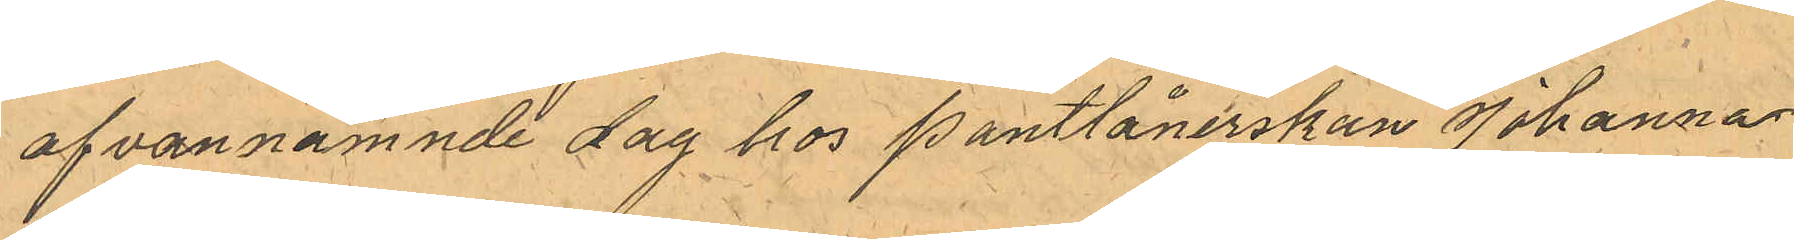ofvannämnde dag hos Pantlånerskan Johanna
